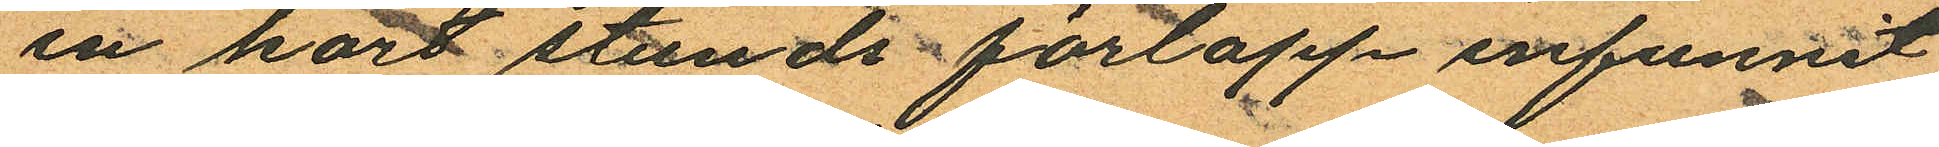en kort stunds förlopp infunnit
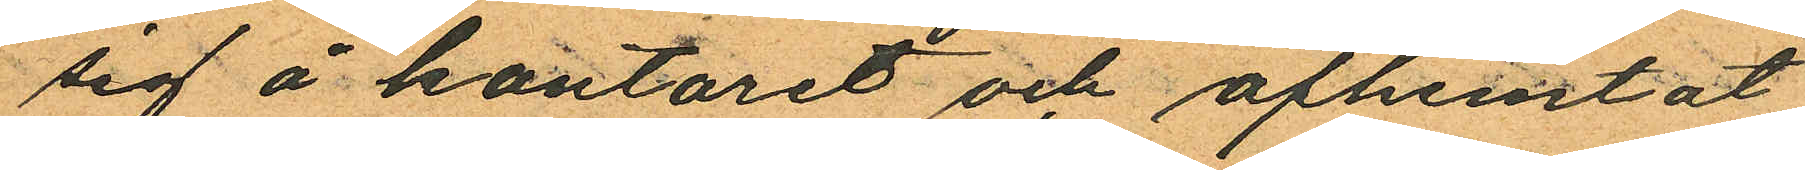sig å kontoret och afhemtat
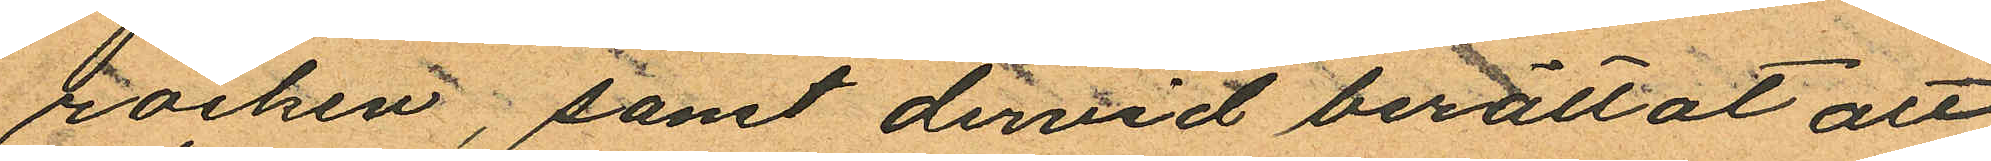rocken; samt dervid berättat att
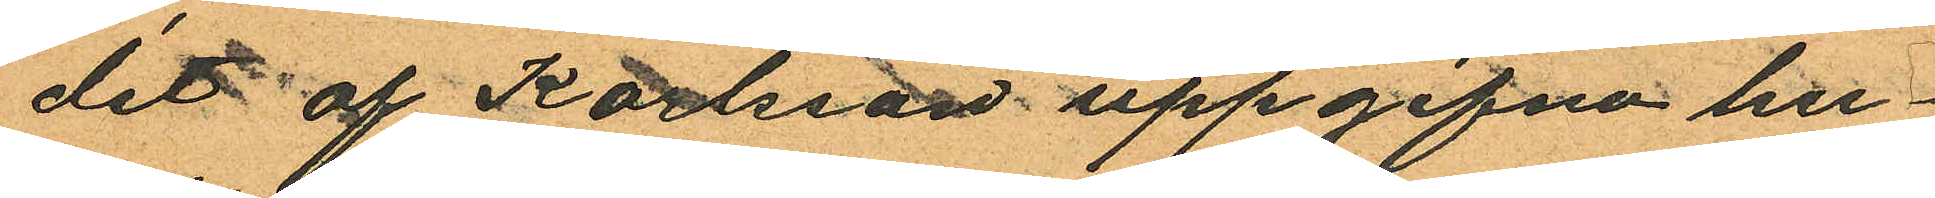det af Karlsson uppgifna hu¬
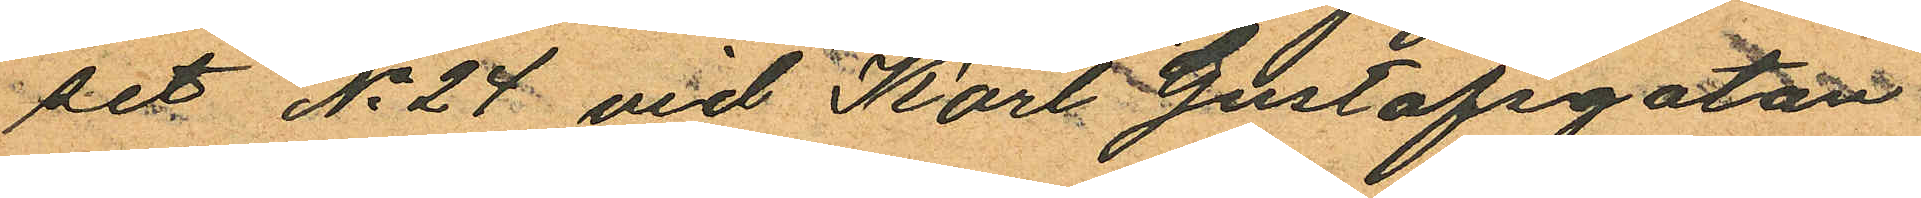set No 24 vid Karl Gustafsgatan
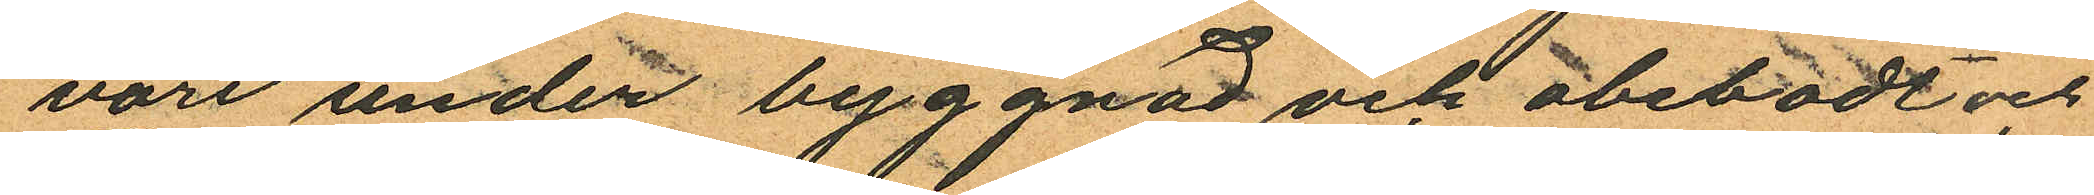vore under byggnad och obebodt och
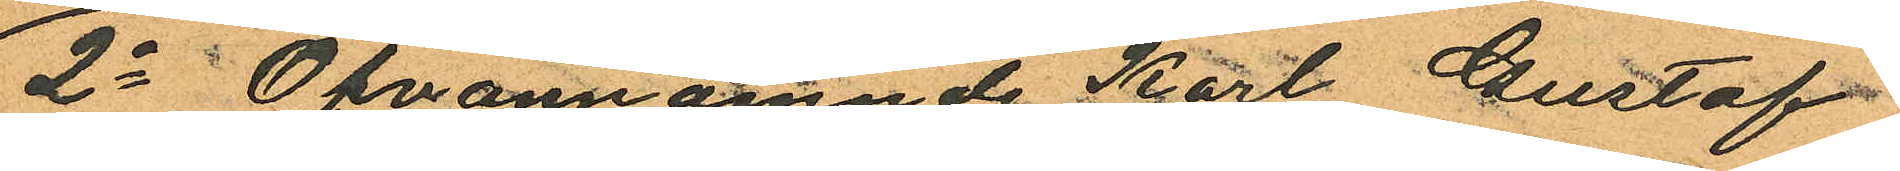2o Ofvannämnde Karl Gustaf
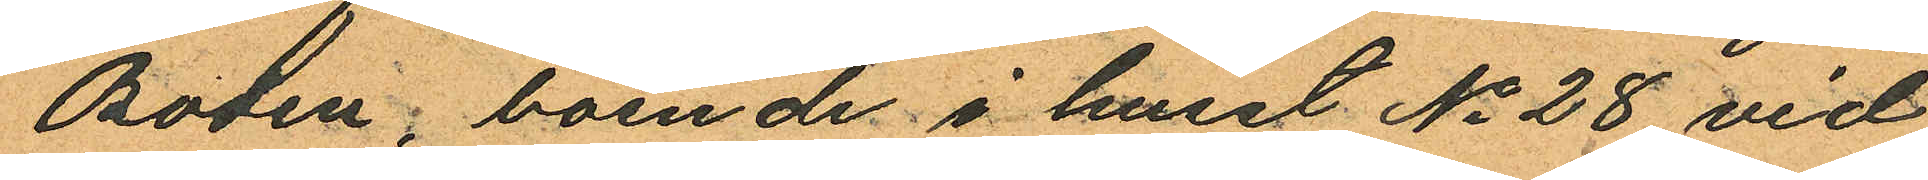Bodén, boende i huset No 28 vid
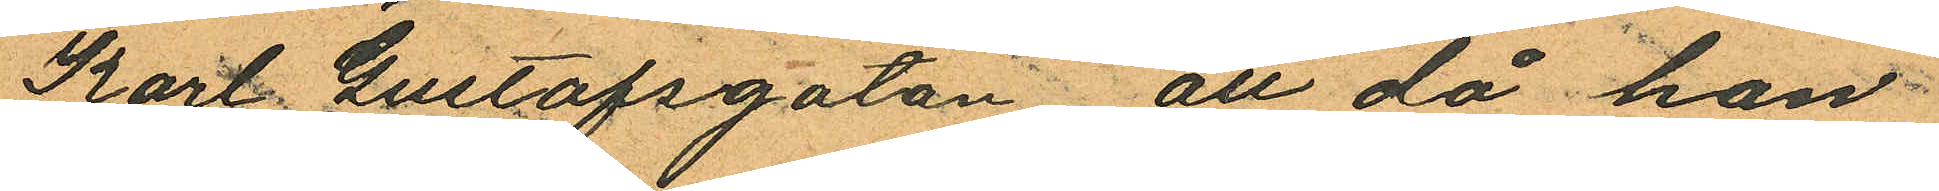Karl Gustafsgatan att då han
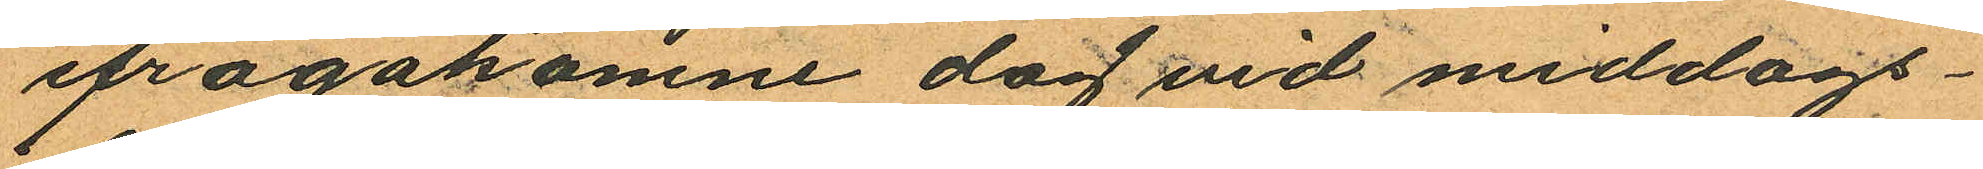ifrågakomne dag vid middags¬
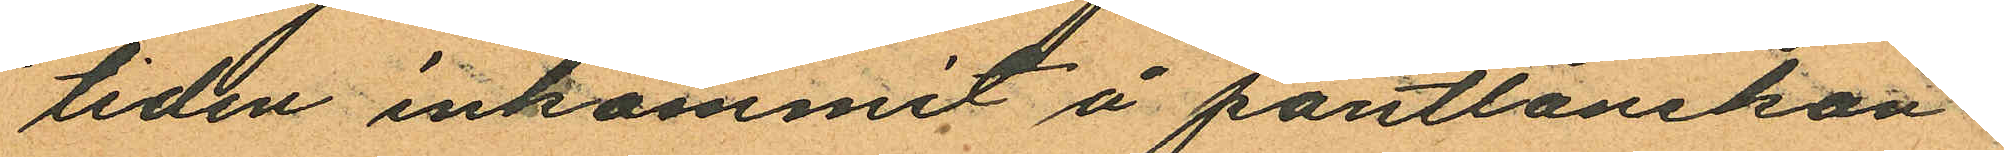tiden inkommit å pantlånekon¬
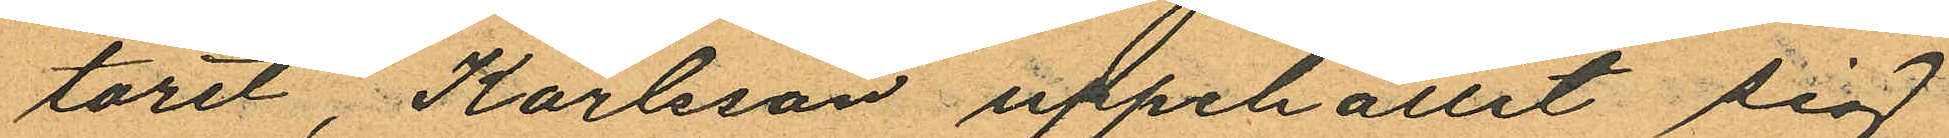toret, Karlsson uppehållit sig
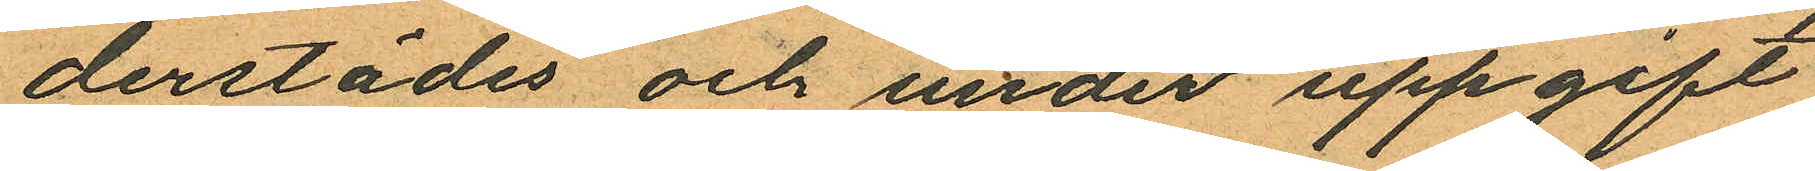derstädes och under uppgift
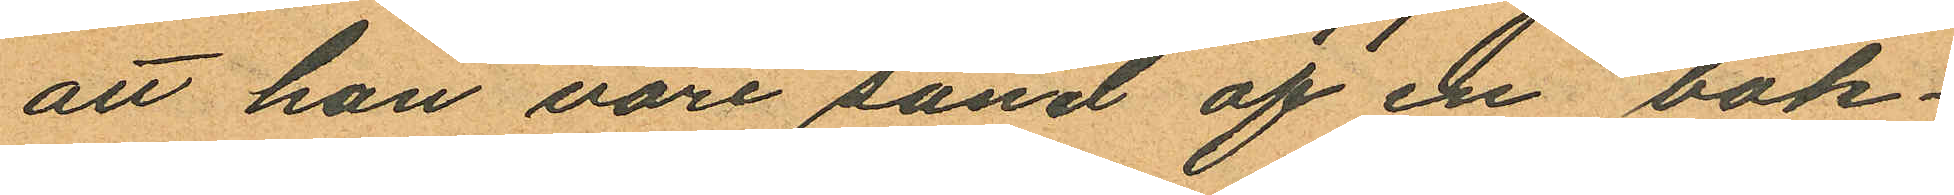att han vore sänd af en bok¬
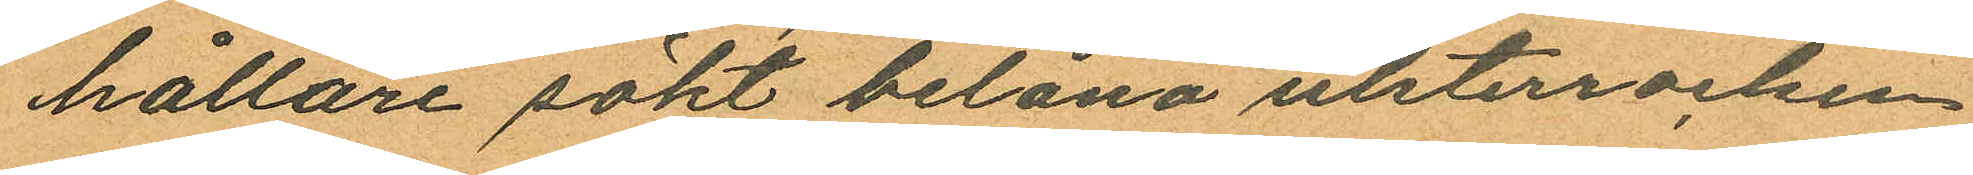hållare sökt belåna ulsterrocken
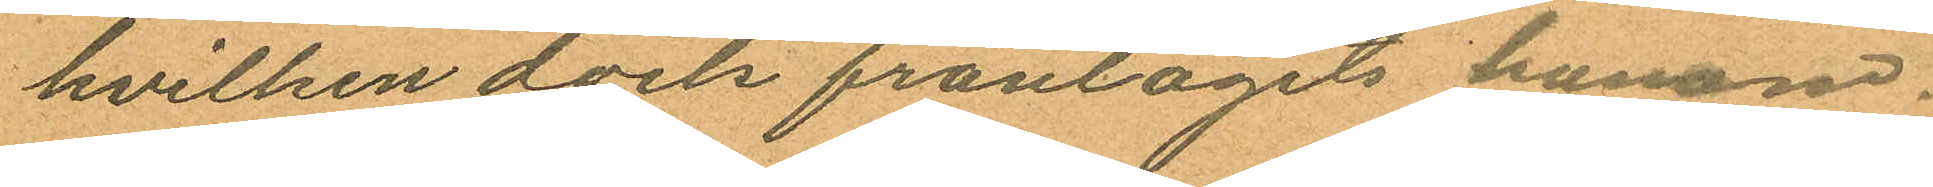hvilken dock fråntagits honom.
